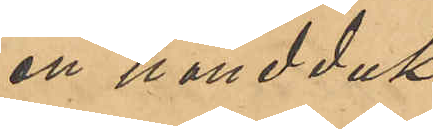en handduk
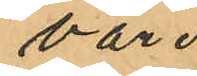värd
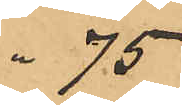" 75
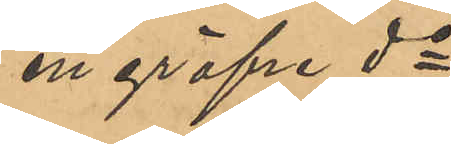en gröfre do
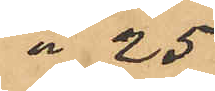" 25
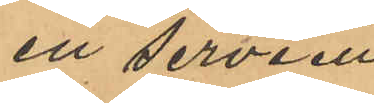en serviett
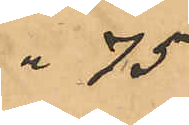" 75
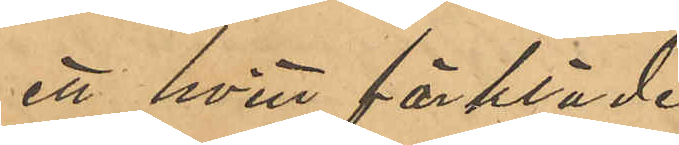ett hvitt förkläde
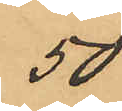50
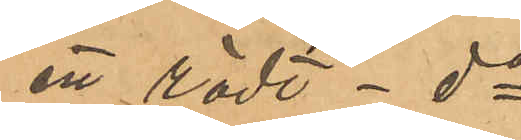ett rödt do
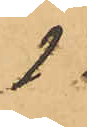1,-
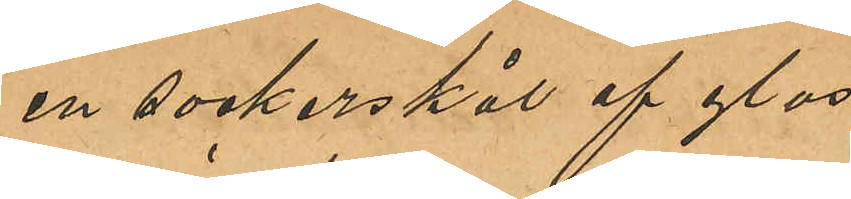en sockerskål af glas
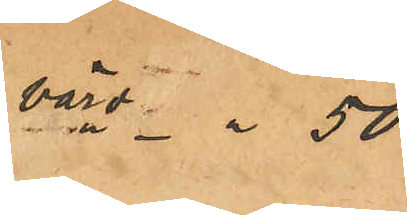värd " 50
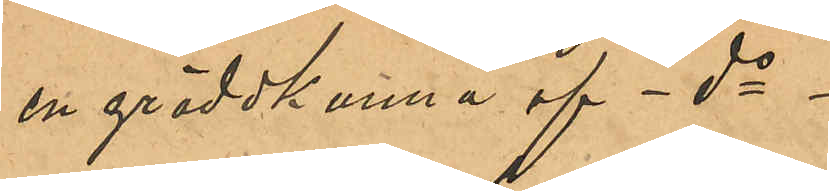en gräddkanna af do
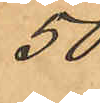50
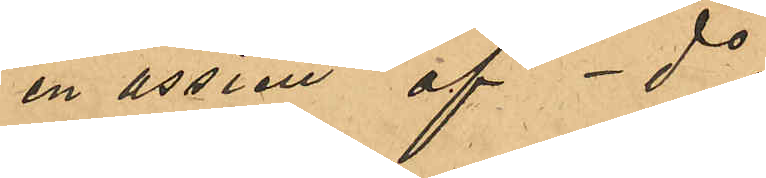en assiett af do
